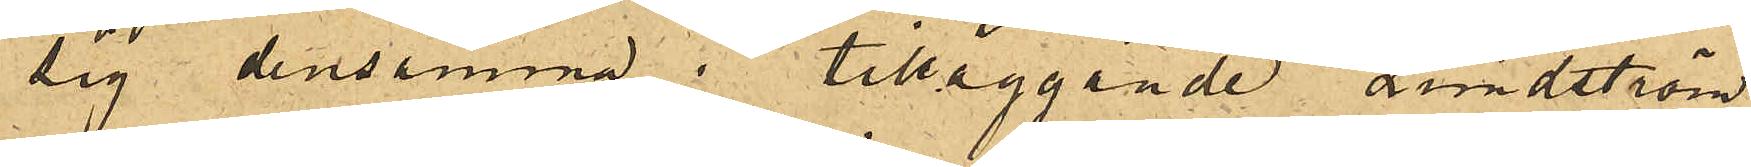sig densamma; tilläggande Lundström,
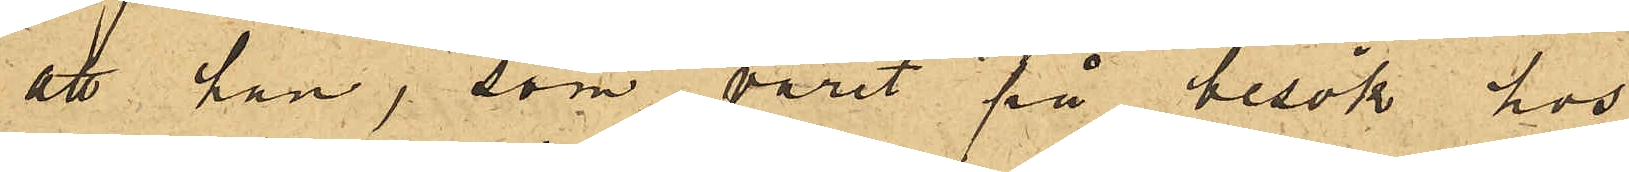att han, som varit på besök hos
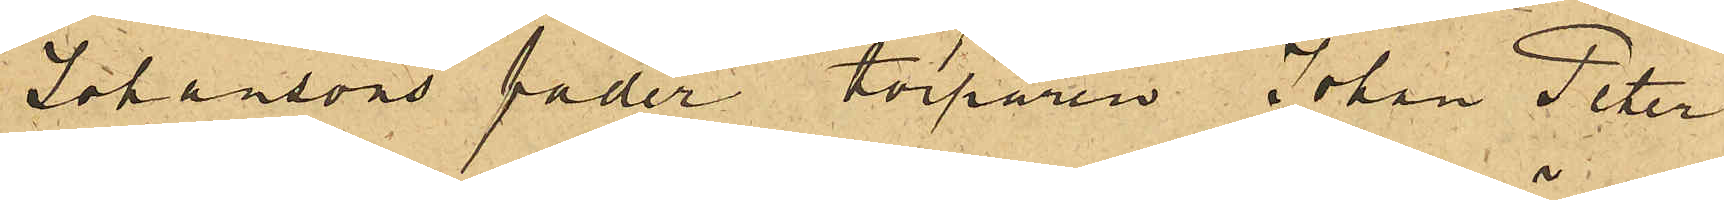Johansons fader torparen Johan Peter
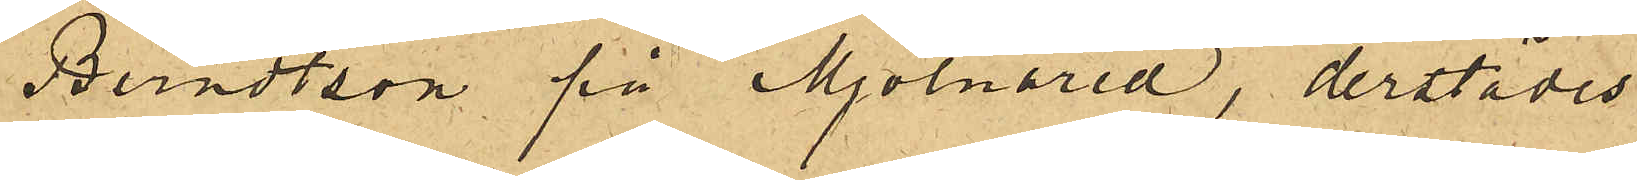Berndtson på Mjölnared, derstädes
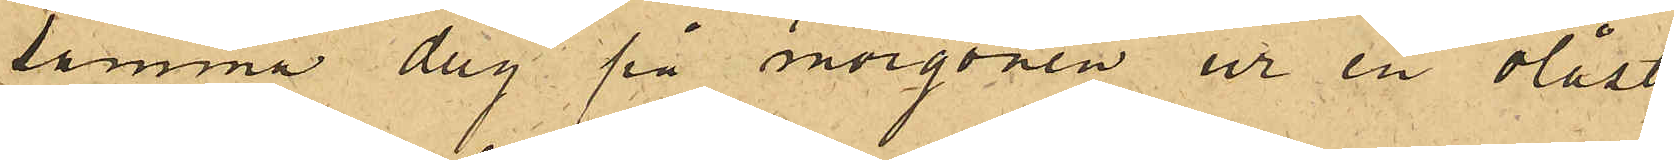samma dag på morgonen ur en olåst
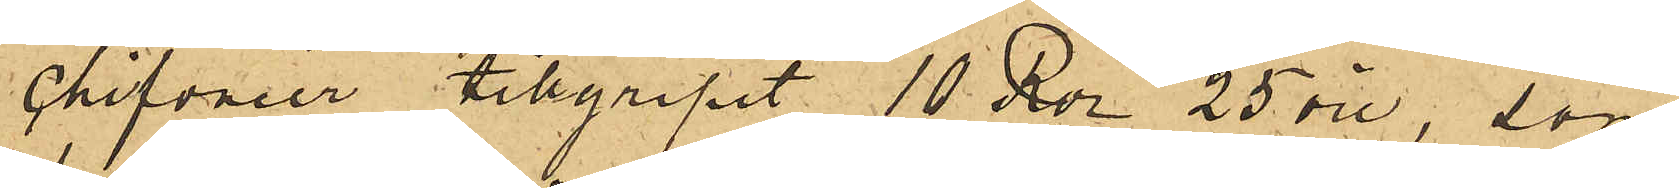chifonier tillgripit 10 Rdr 25 öre, som
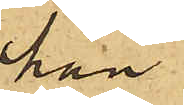han
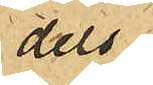dels
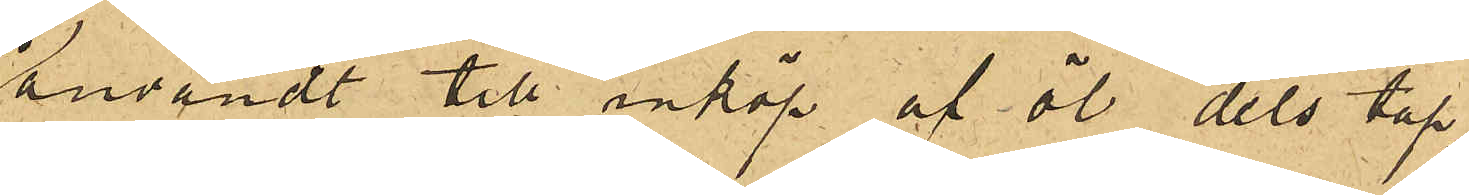användt till inköp af öl dels tap¬
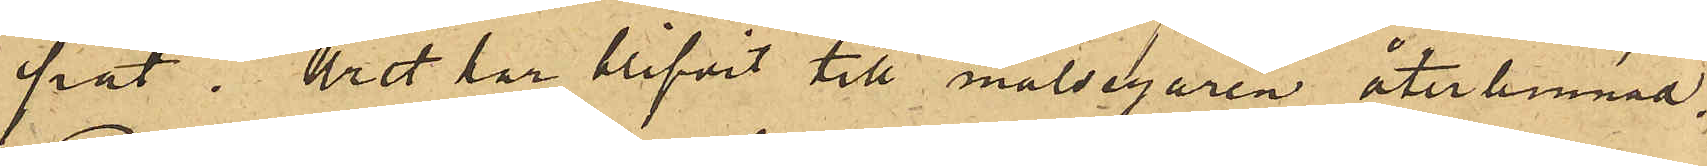pat. Uret har blifvit till målsegaren återlemnat,
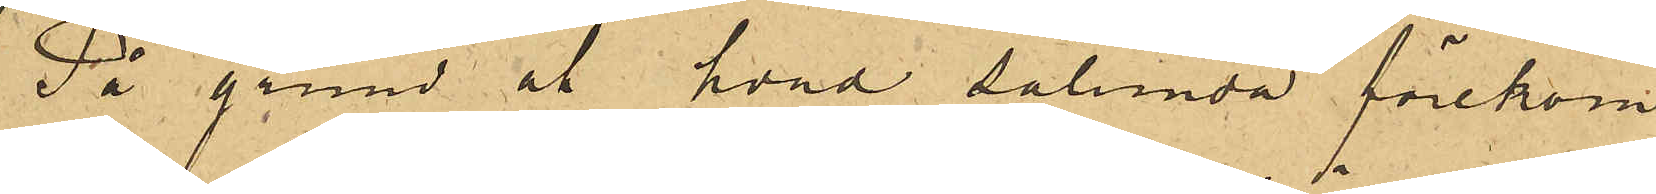På grund af hvad sålunda förekom¬
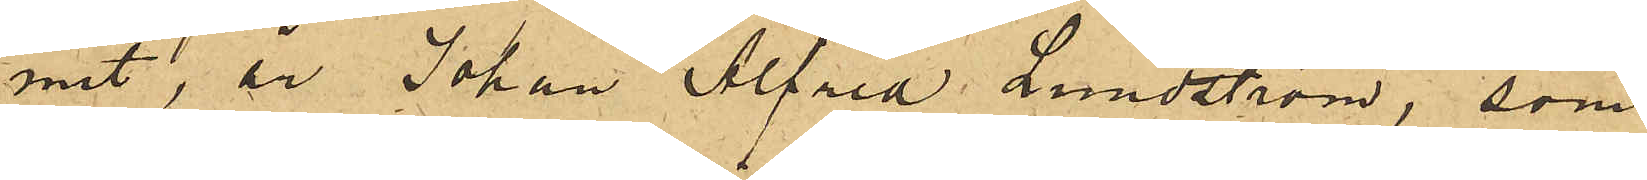mit, är Johan Alfred Lundström, som
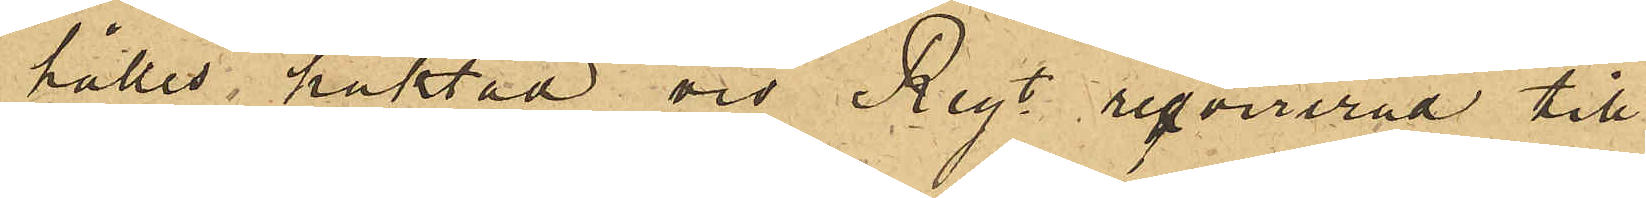hålles häktad vid Regt reqvirerad till
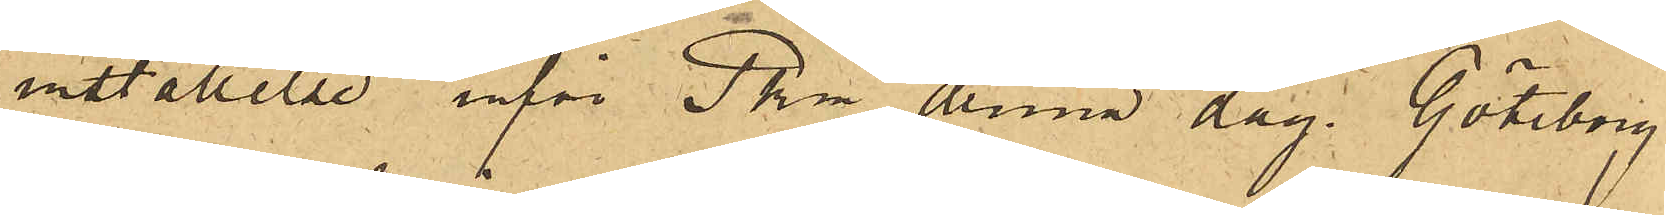inställelse inför Pkm denna dag. Göteborg
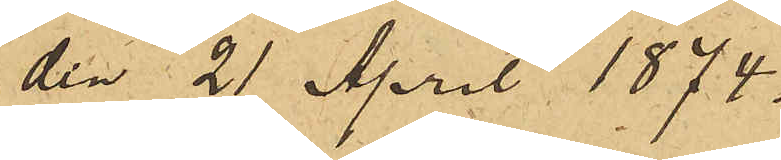den 21 April 1874.
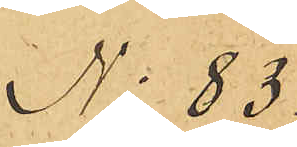No 83
